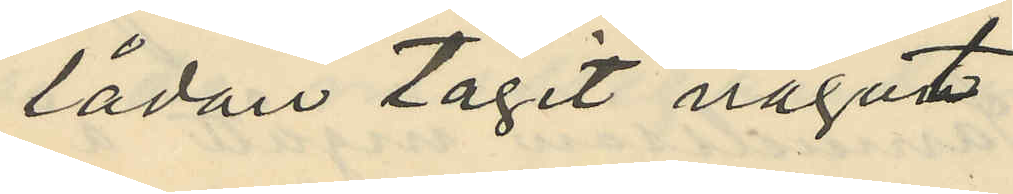lådan tagit något
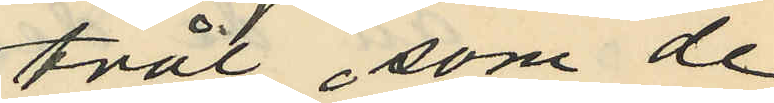tvål, som de
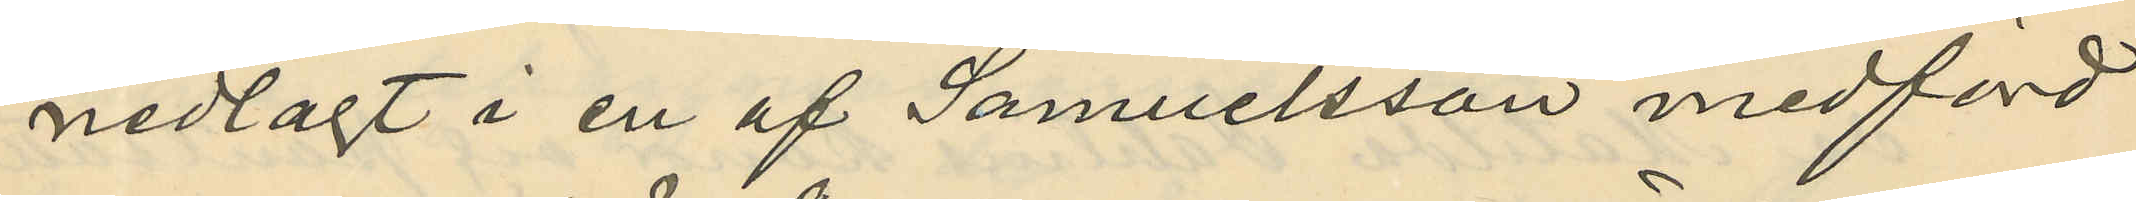nedlagt i en af Samuelsson medförd
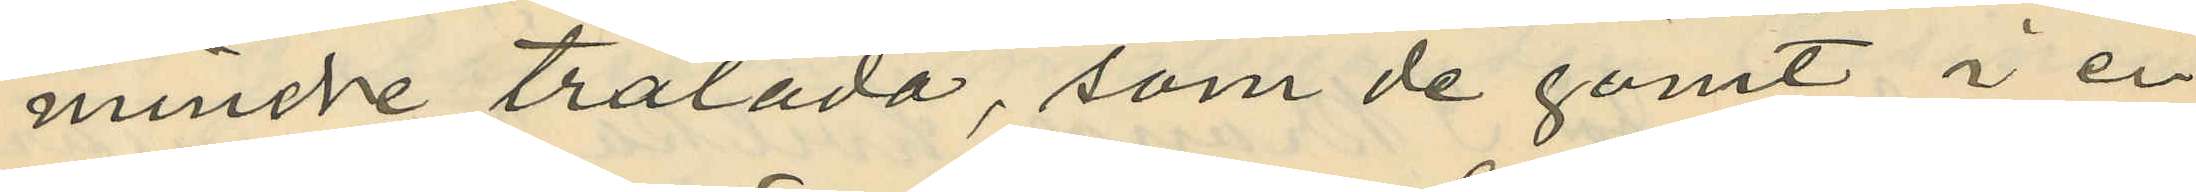mindre trälåda, som de gömt i en
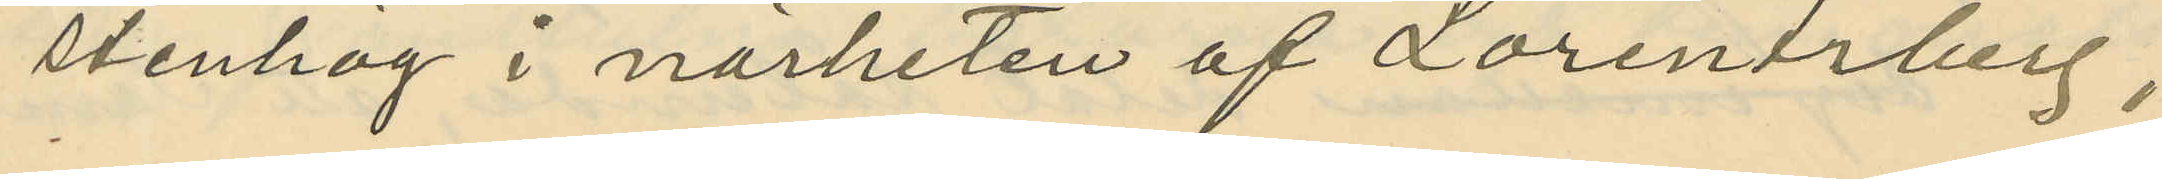stenhög i närheten af Lorentsberg,
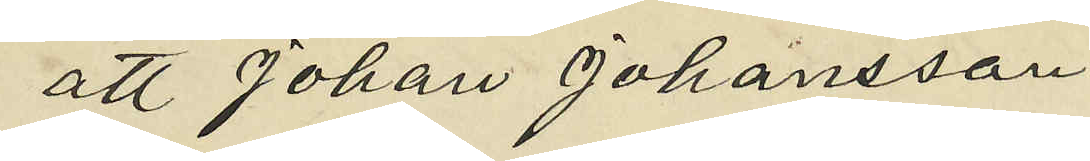att Johan Johansson
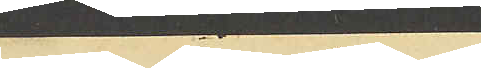derefter af det
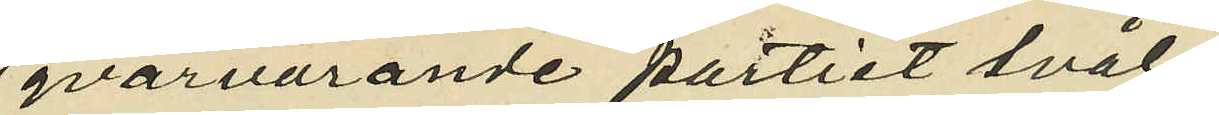qvarvarande partiet tvål
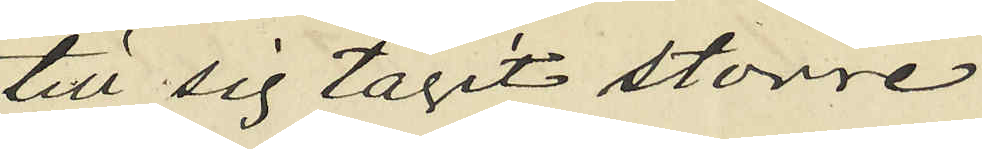till sig tagit större
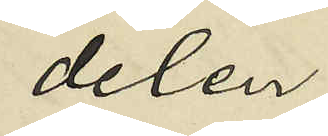delen
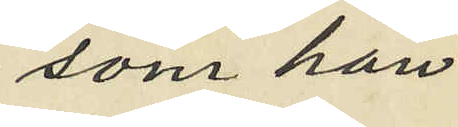som han
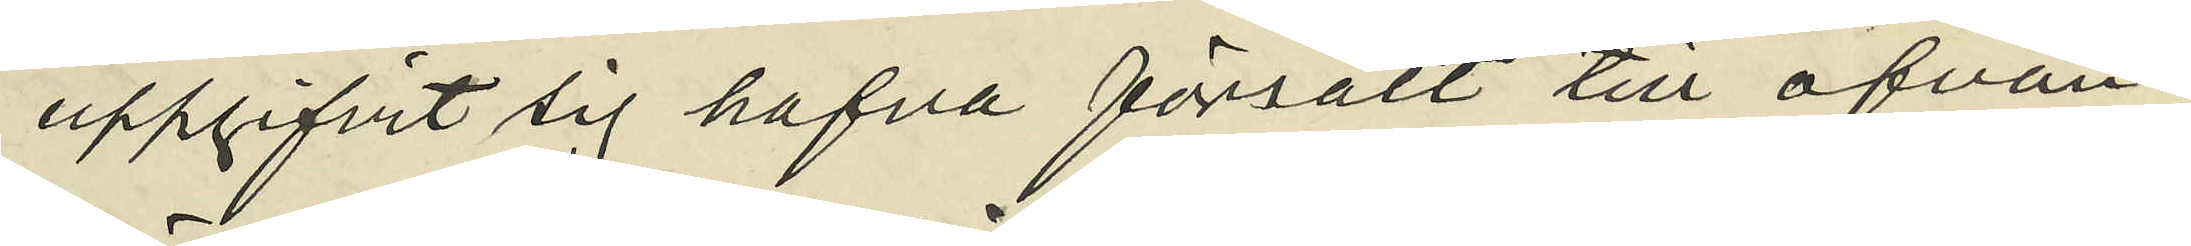uppgifvit sig hafva försålt till ofvan¬
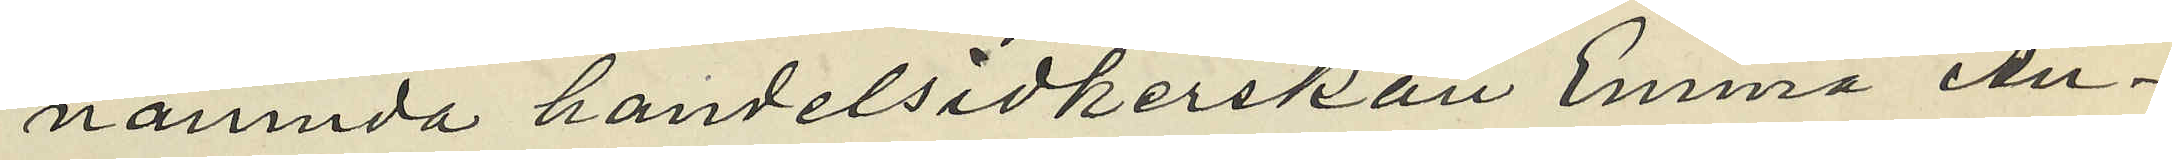nämnda handelsidkerskan Emma An¬
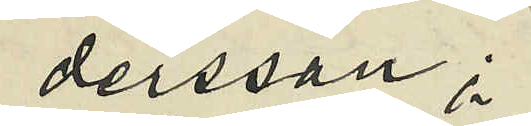dersson;
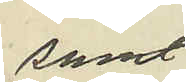samt
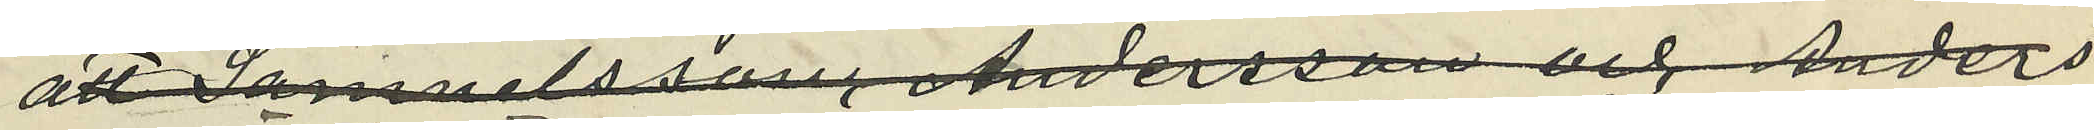att Samuelsson, Andersson, och Anders
